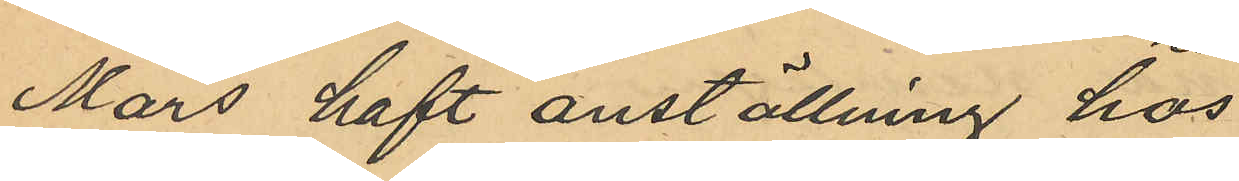Mars haft anställning hos
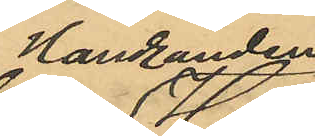Handlanden
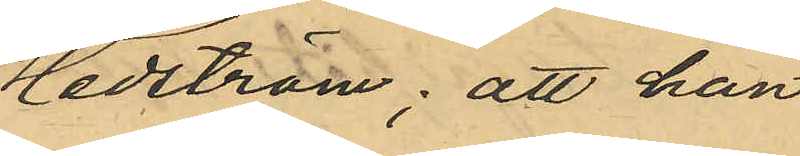Hedström; att han
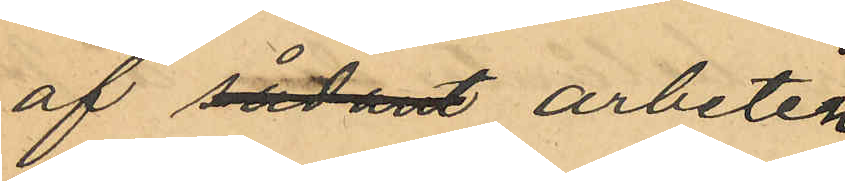af sådant arbeten 
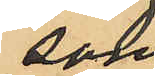som
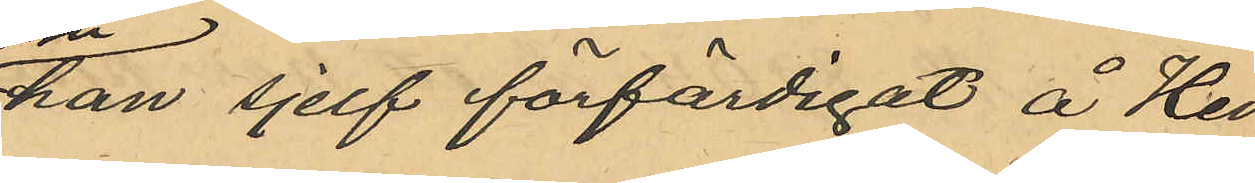han sjelf förfärdigat å Hed¬
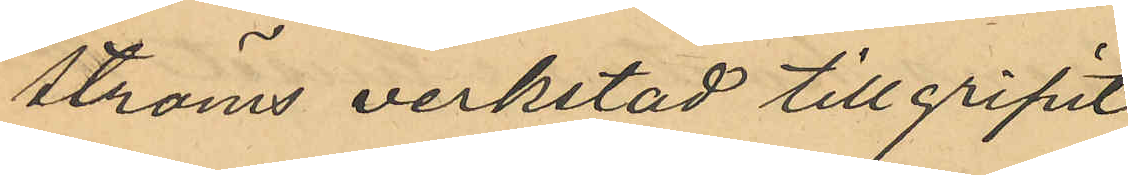ströms verkstad tillgripit;
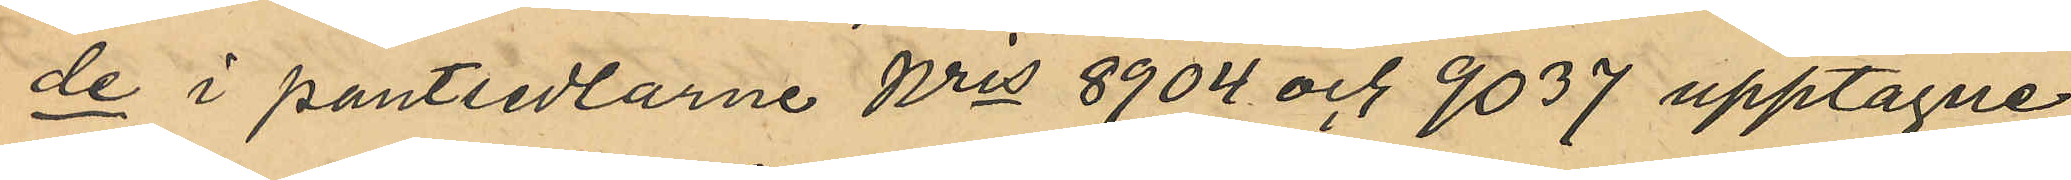de i pantsedlarne Nris 8904 och 9037 upptagne
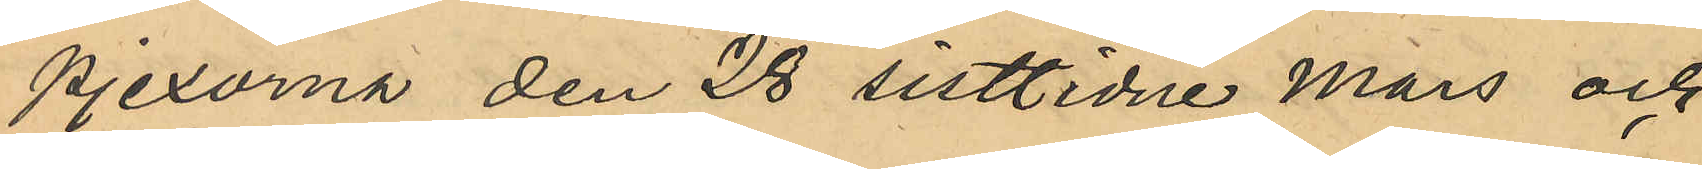pjexorna den 28 sistlidne Mars och,
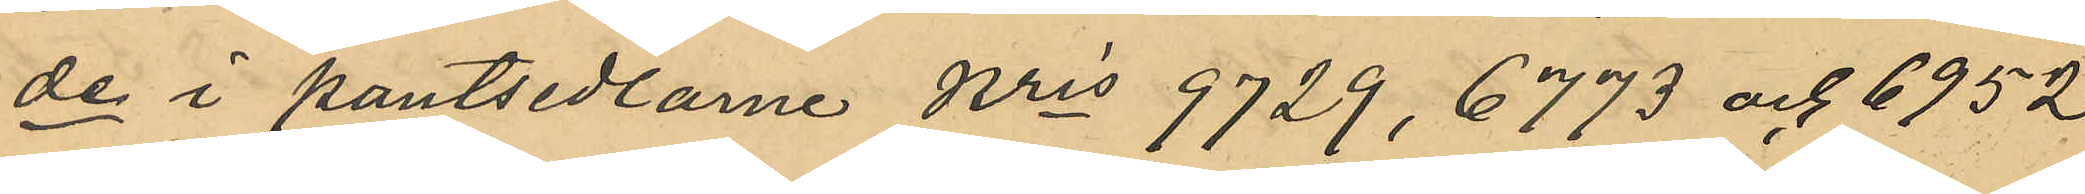de i pantsedlarne Nris  9729, 6773 och 6952
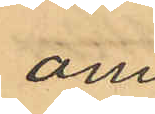om¬
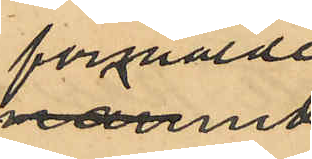förmälde
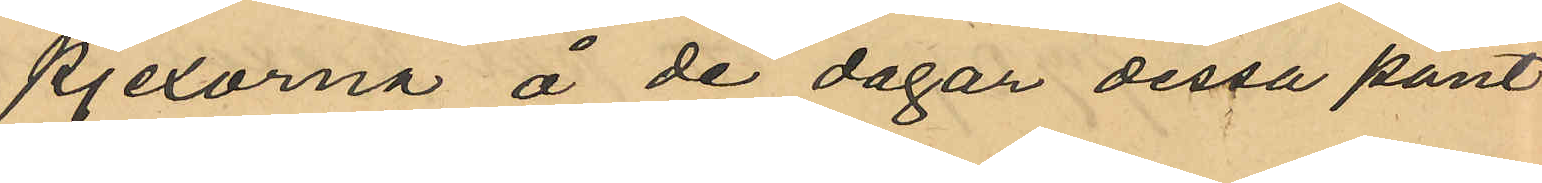pjexorna å de dagar dessa pant¬
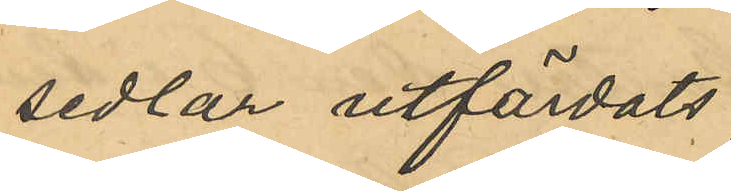sedlar utfärdats;
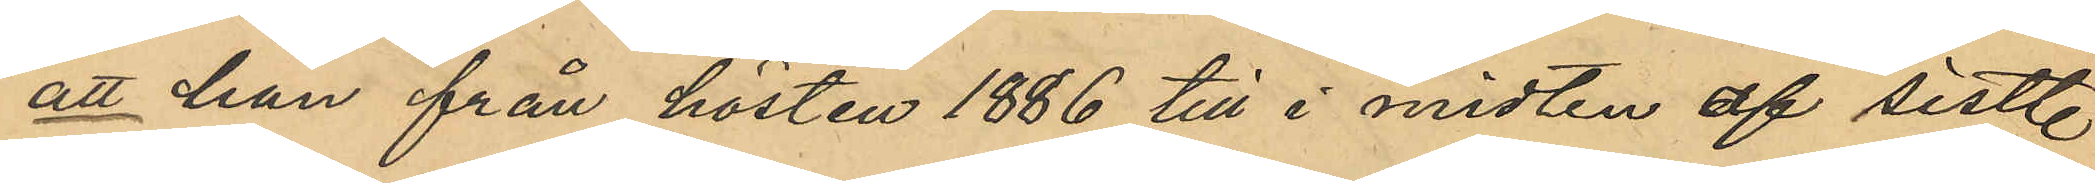att han från hösten 1886 till i midten af sistl
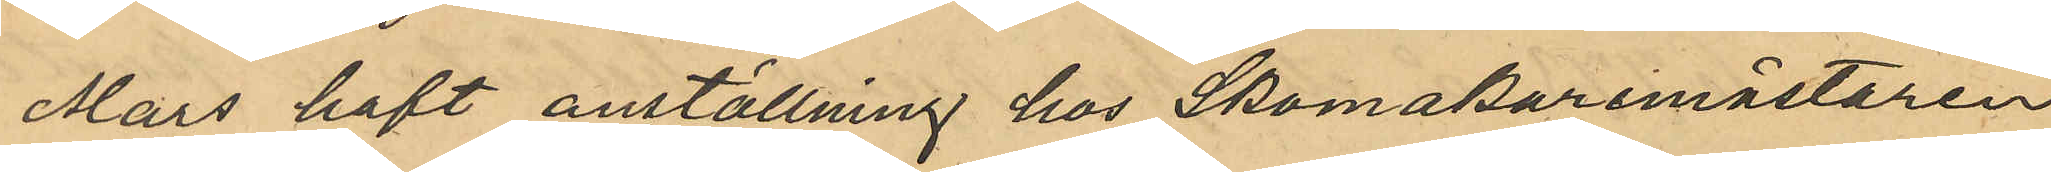Mars haft anställning hos Skomakaremästaren
